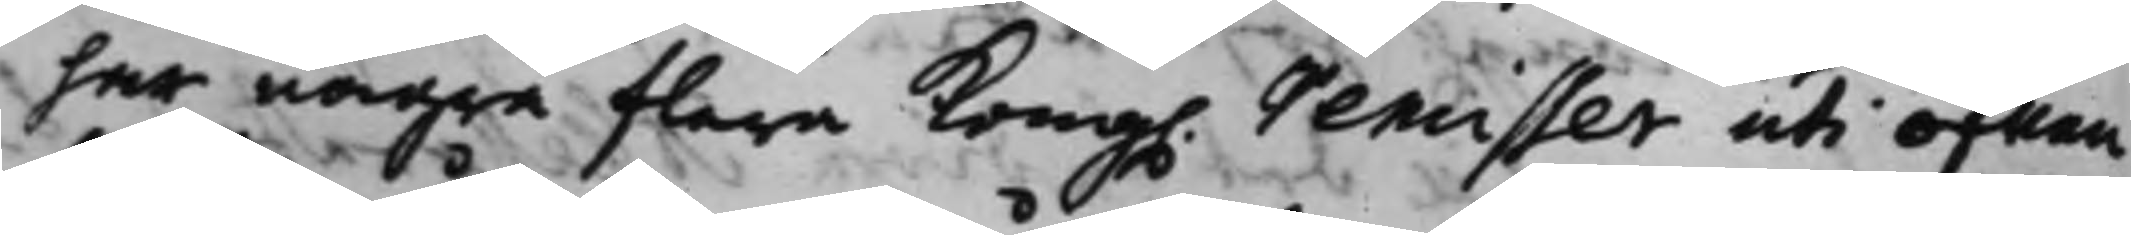har några flera Kong. Remisser uti ofwan
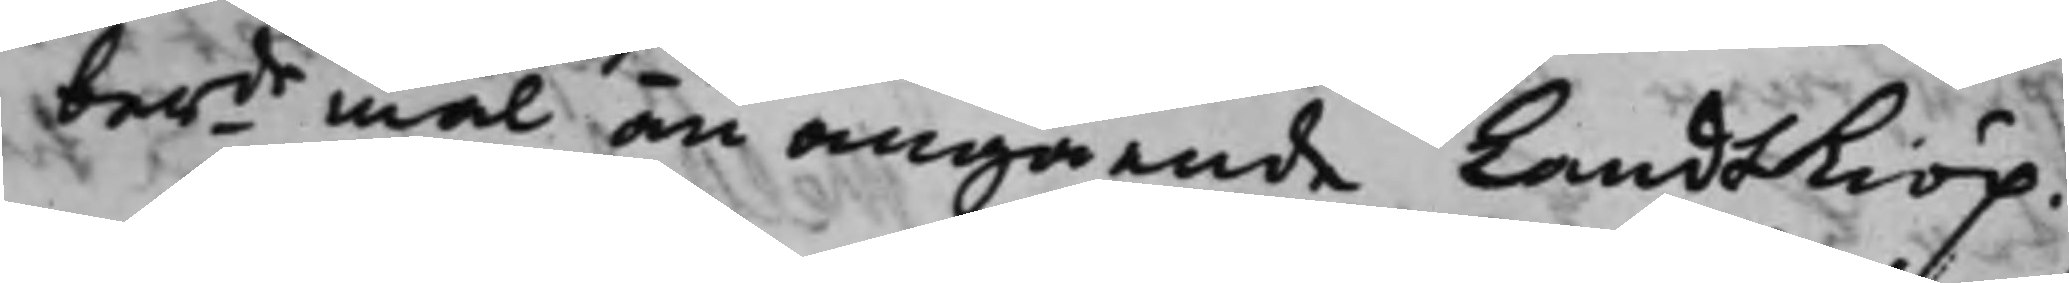berde mål, än angående Landskiöp.
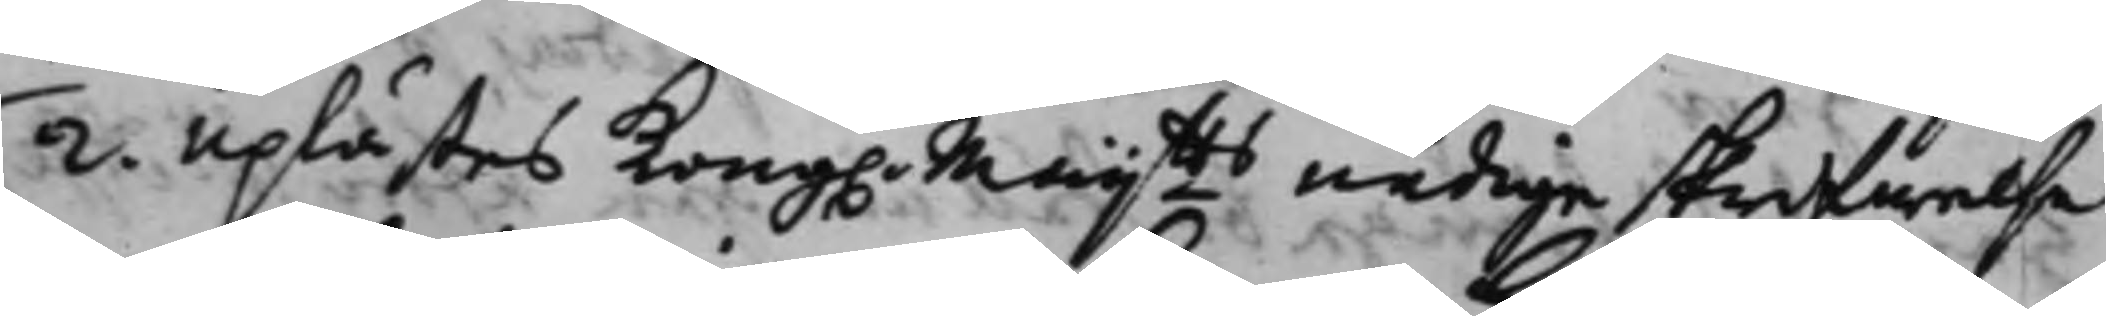2. Uplästes Kong. Maijtts nådige skrifwelse
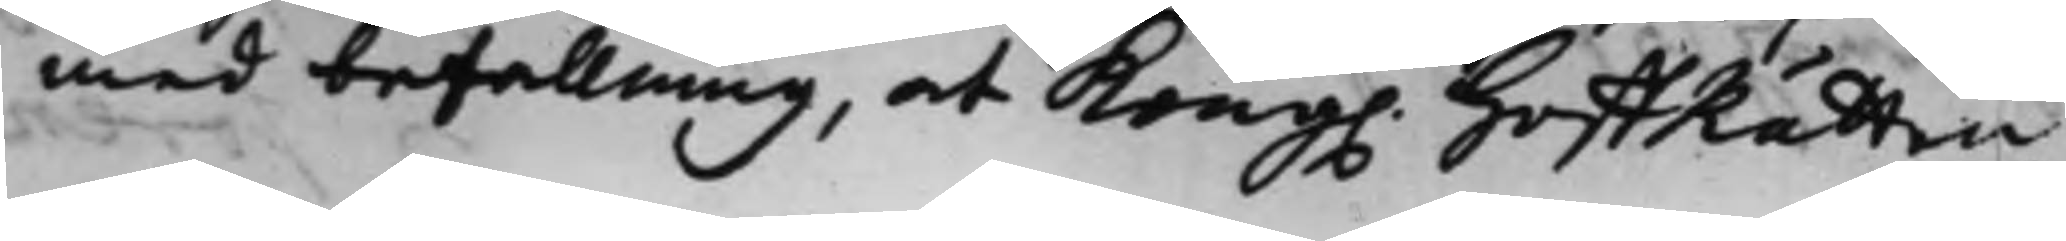med befallning, at Kong. HoffRätten
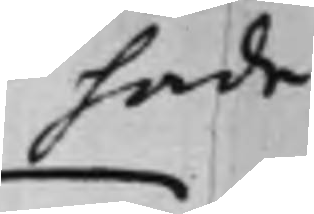hade
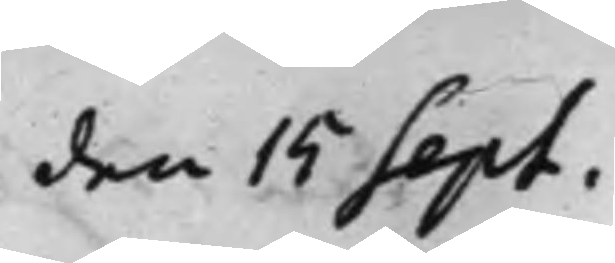den 15 Sept.
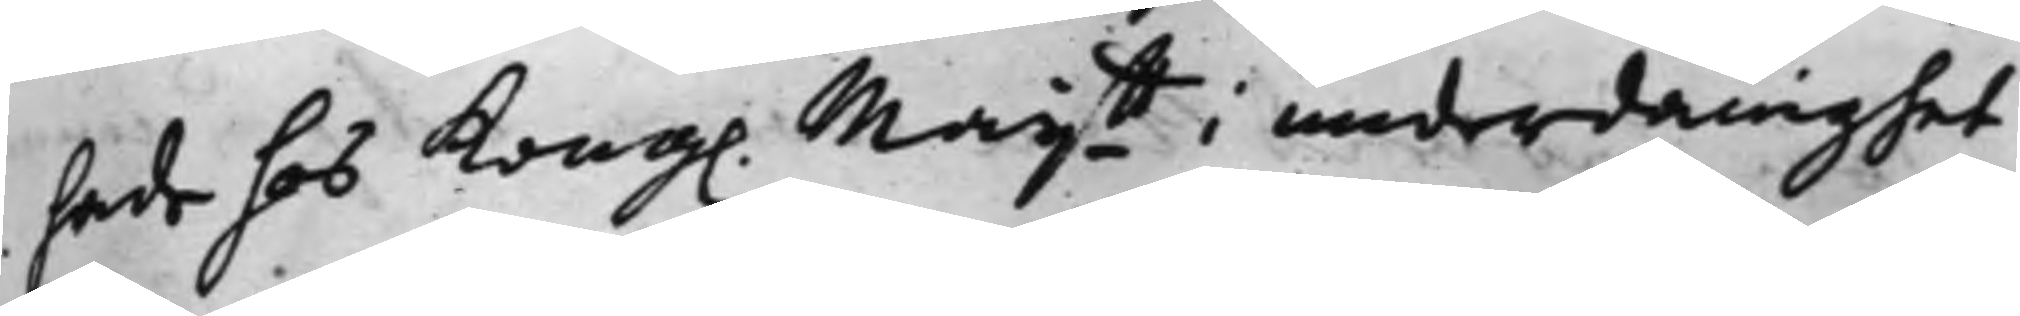hade hos Kong. Maijtt i underdånighet
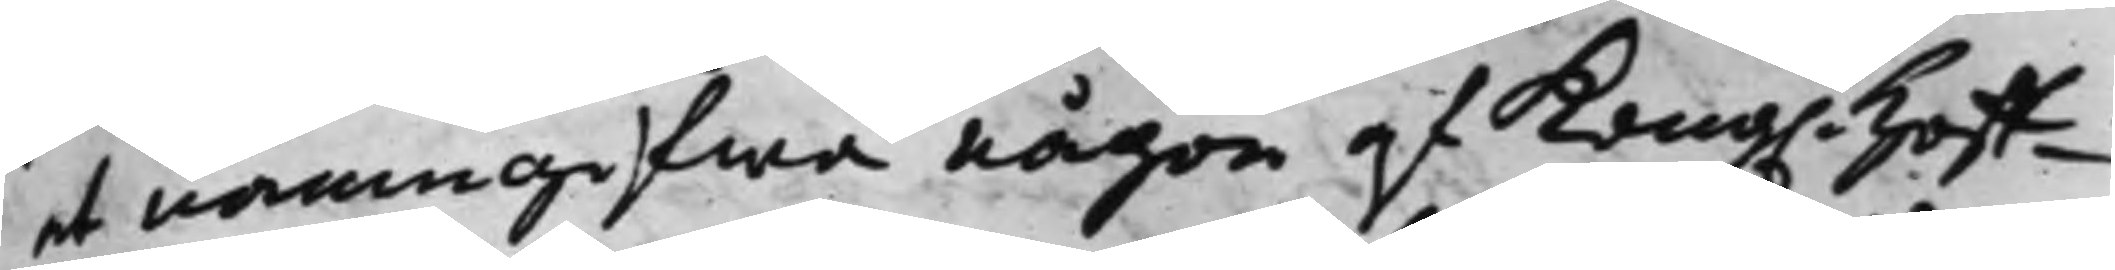at namngifwa någon af Kong. Hoff¬
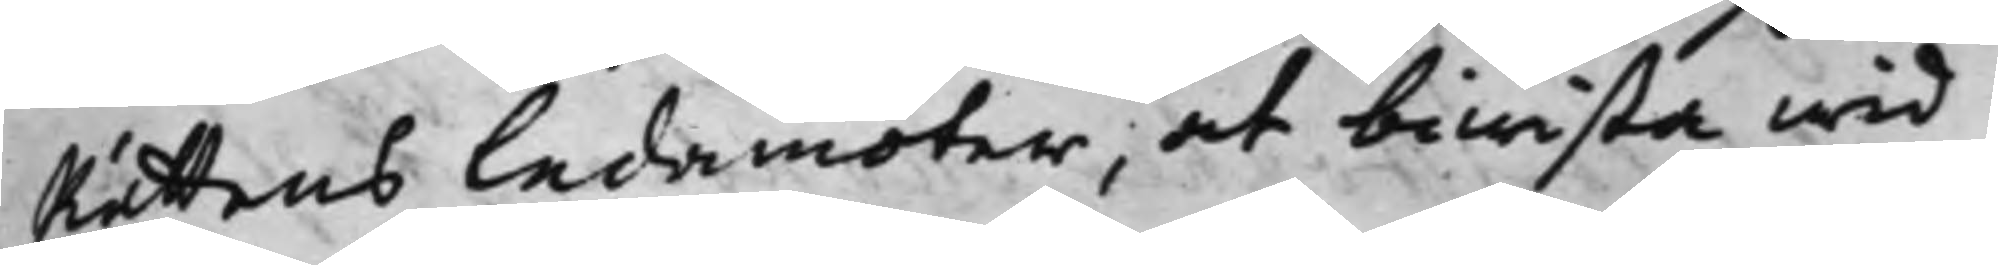Rättens Ledamöter, at biwista wid
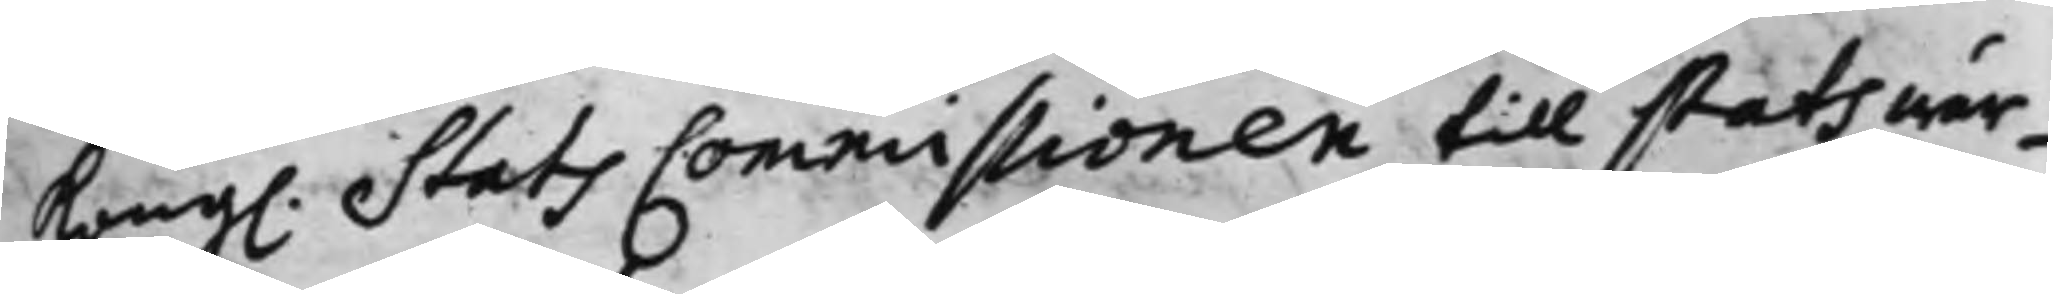Kong. Stats Commissionen till statswär¬
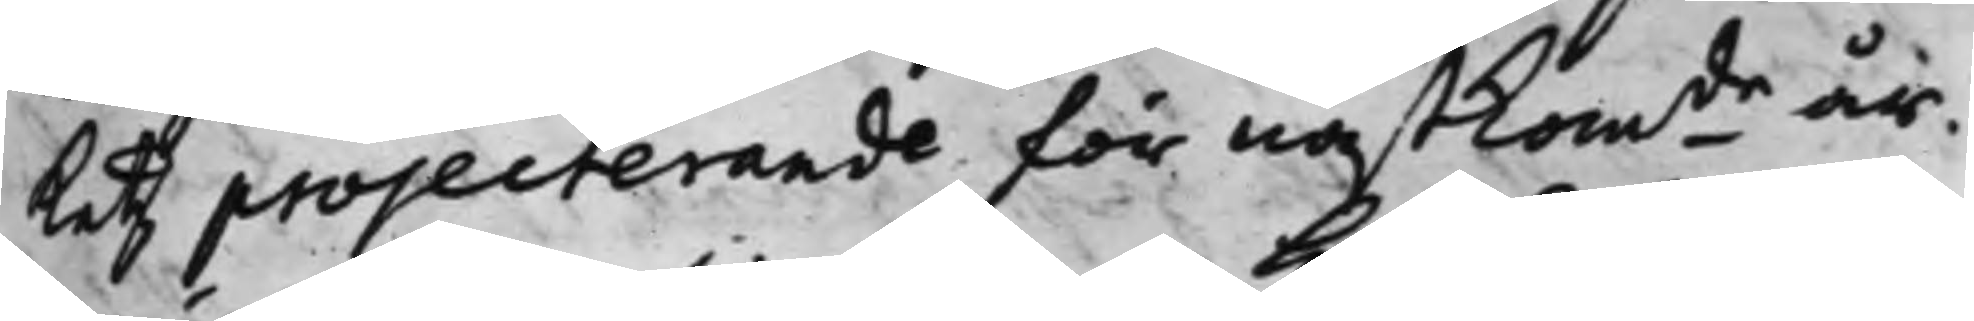ketz projecterande för nästkomde år,
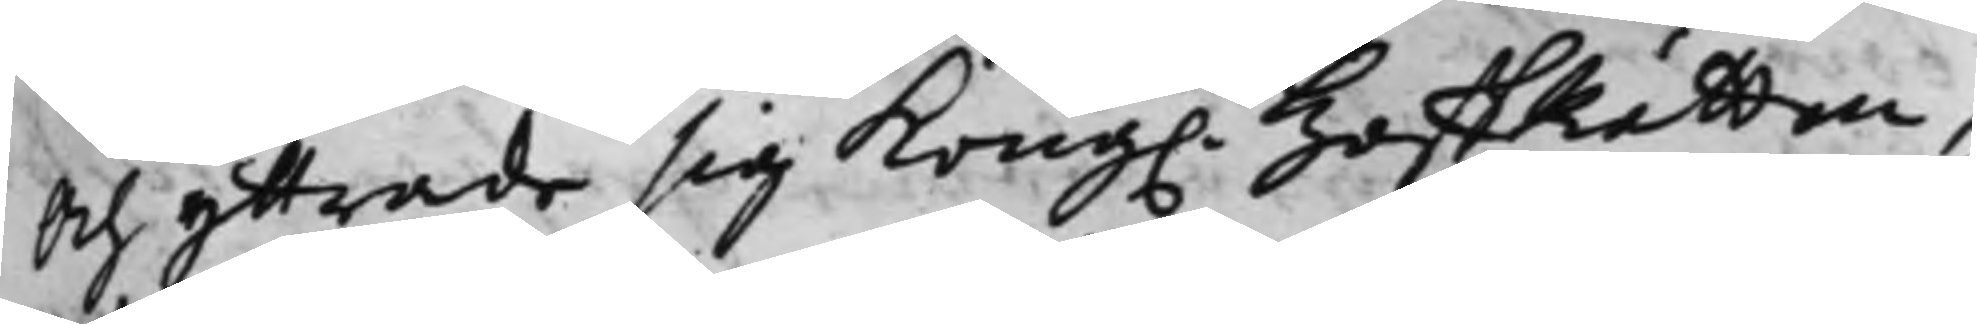Och yttrade sig Kong. HoffRätten,
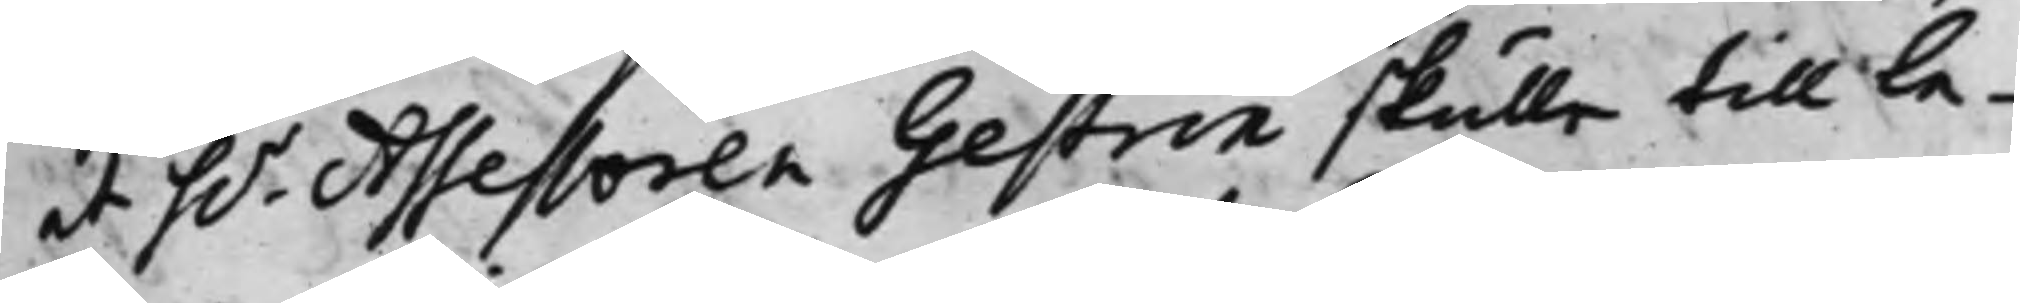at h.r Assessoren Gestrin skulle till Le¬
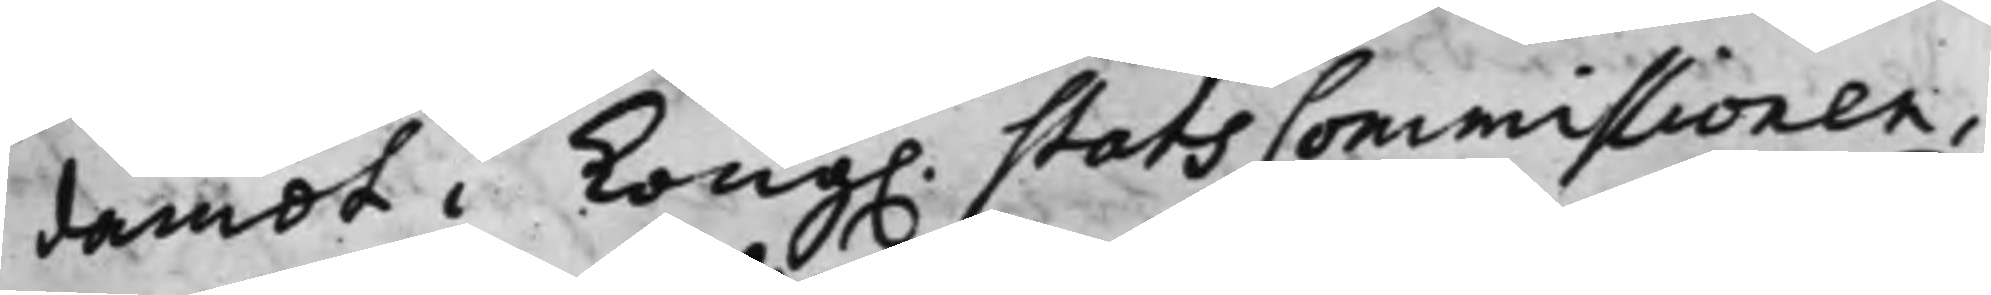damot i Kong. Stats Commissionen,
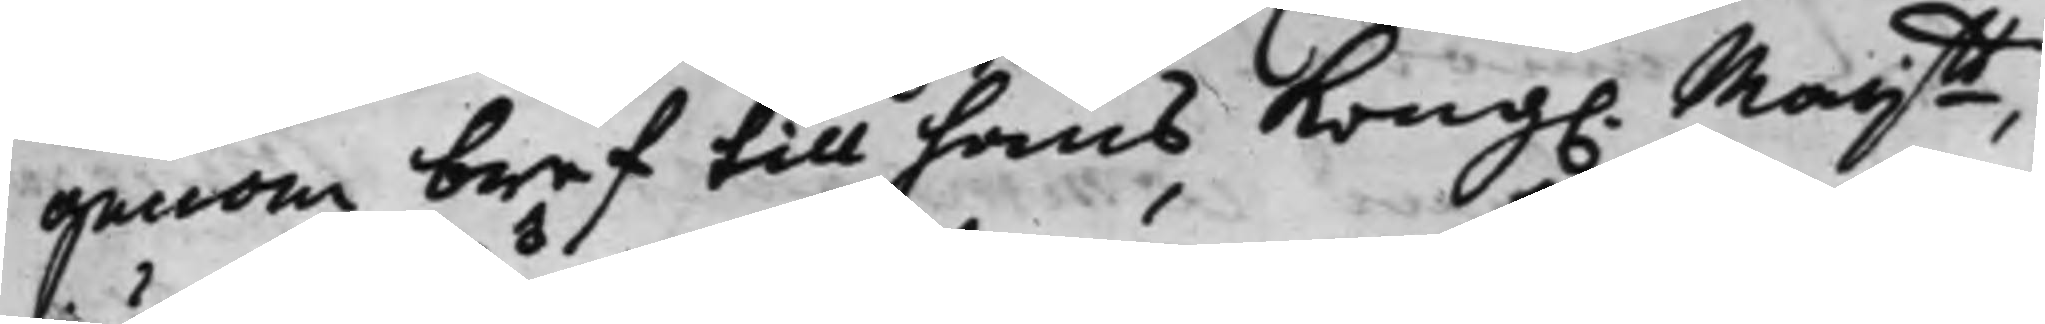genom bref till hans Kong. Maijtt,
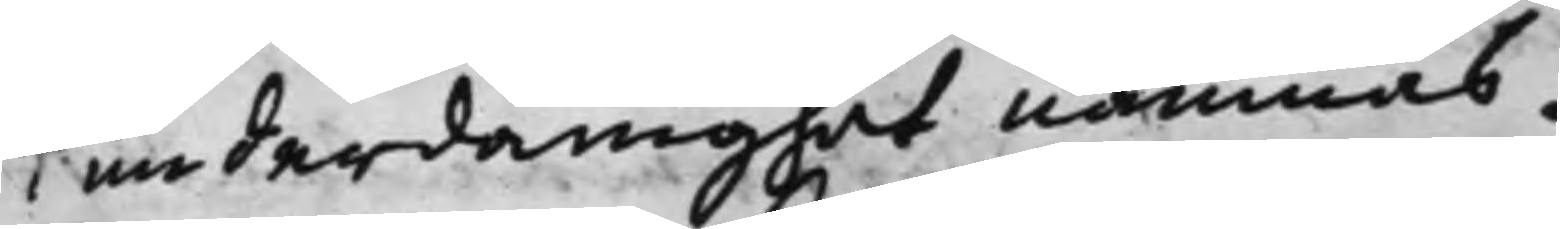underdånighet nämnas.
